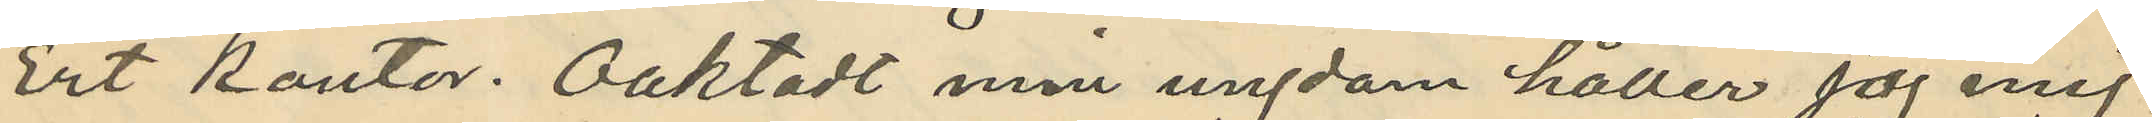Ert kontor. Oaktadt min ungdom håller jag mig
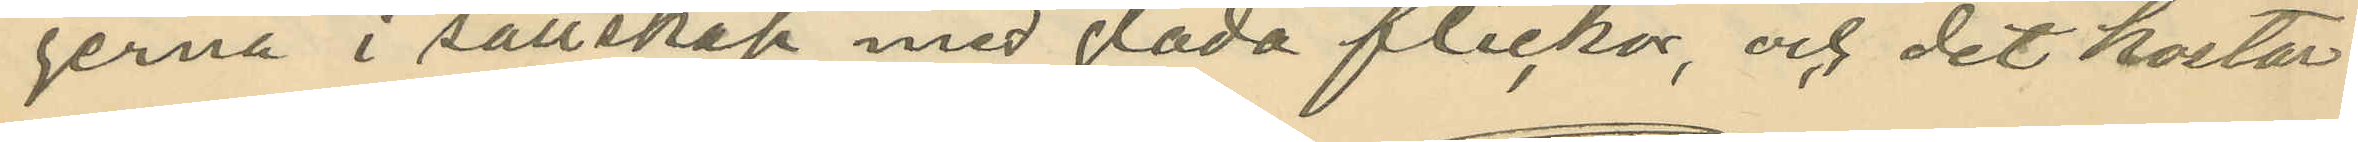gerna i sällskap med glada flickor, och det kostar
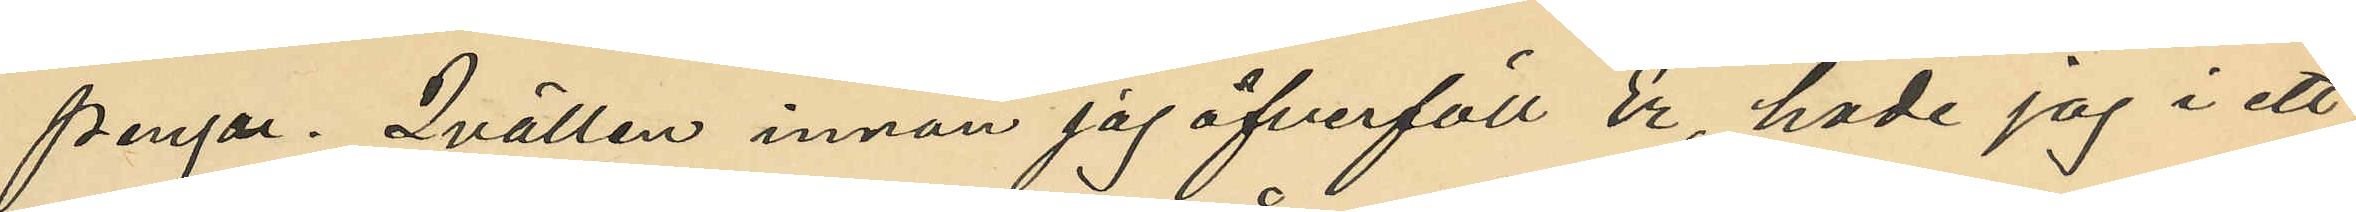pengar. Qvällen innan jag öfverföll Er, hade jag i ett
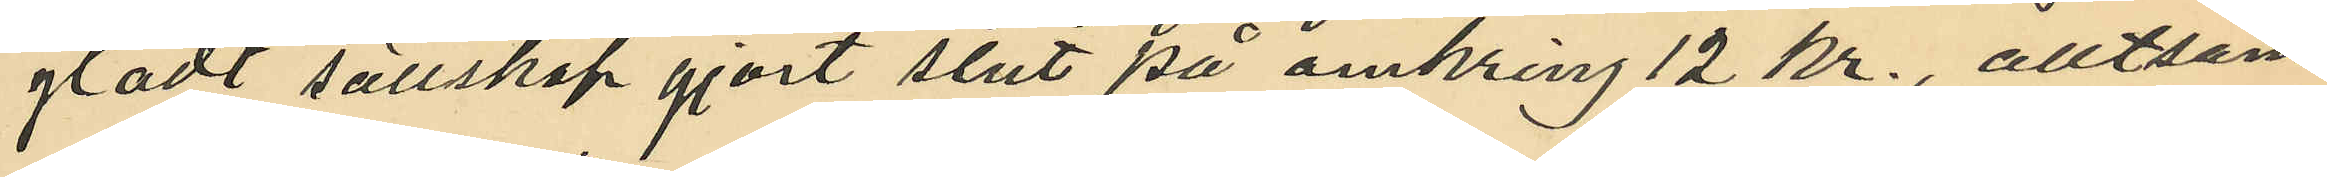gladt sällskap gjort slut på omkring 12 kr., alltsam¬
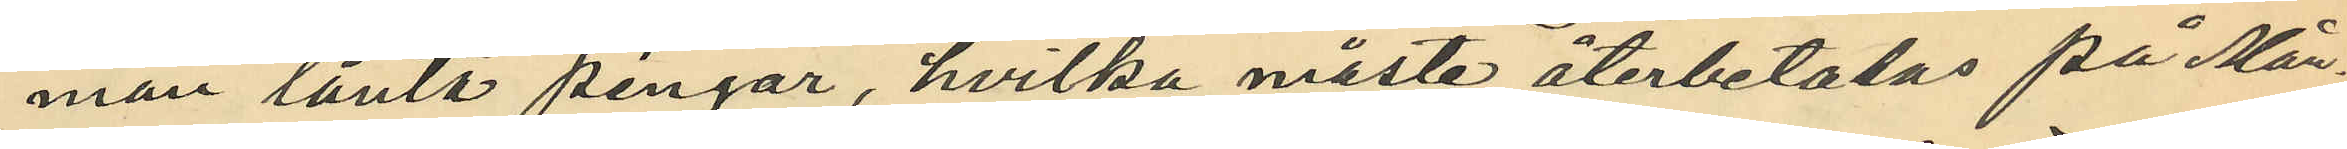man lånta pengar, hvilka måste återbetalas på Mån
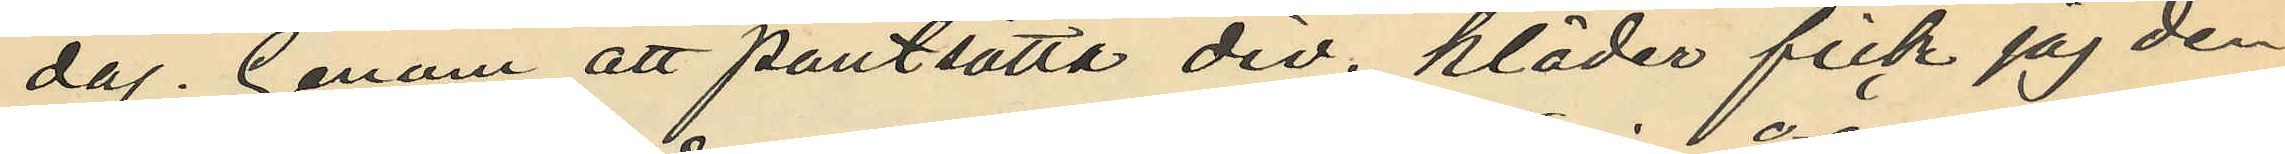dag. Genom att pantsätta div. kläder fick jag den
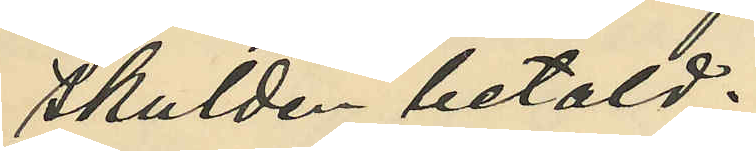skulden betald.
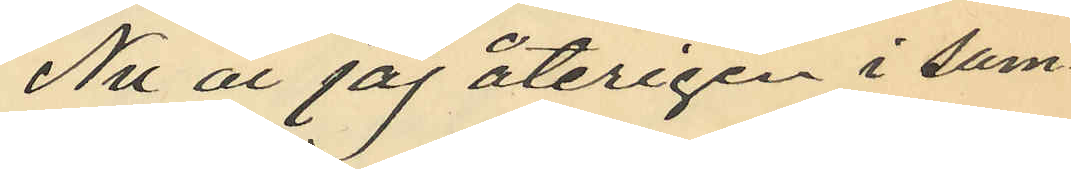Nu är jag återigen i sam¬
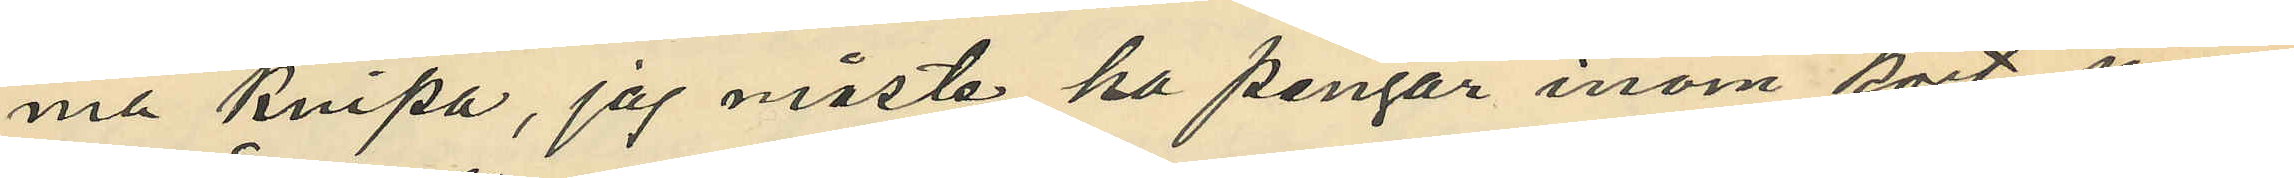ma knipa, jag måste ha pengar inom kort, men
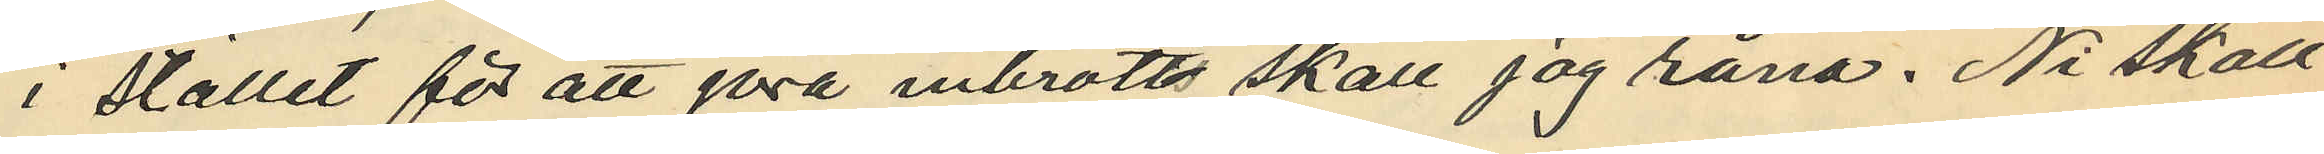i stället för att göra inbrotts skall jag råna. Ni skall
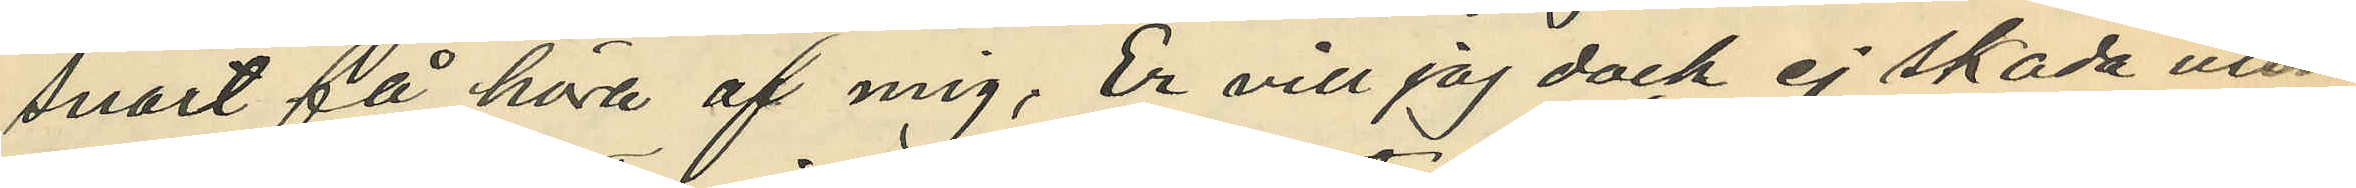snart få höra af mig, Er vill jag dock ej skada utan
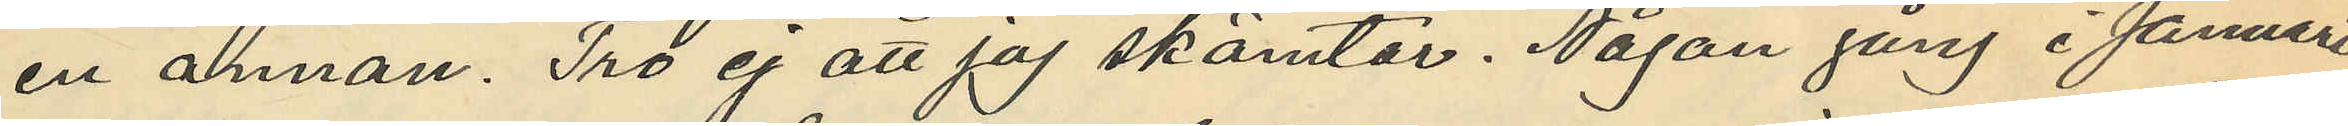en annan. Tro ej att jag skämtar. Någon gång i Januari
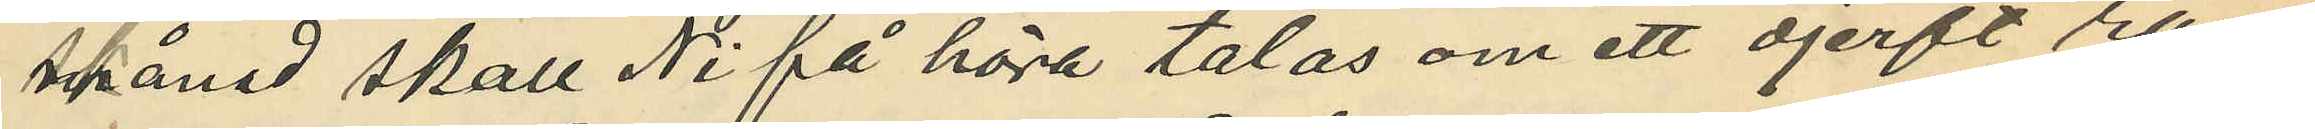Månad skall Ni få höra talas om ett djerft rån¬
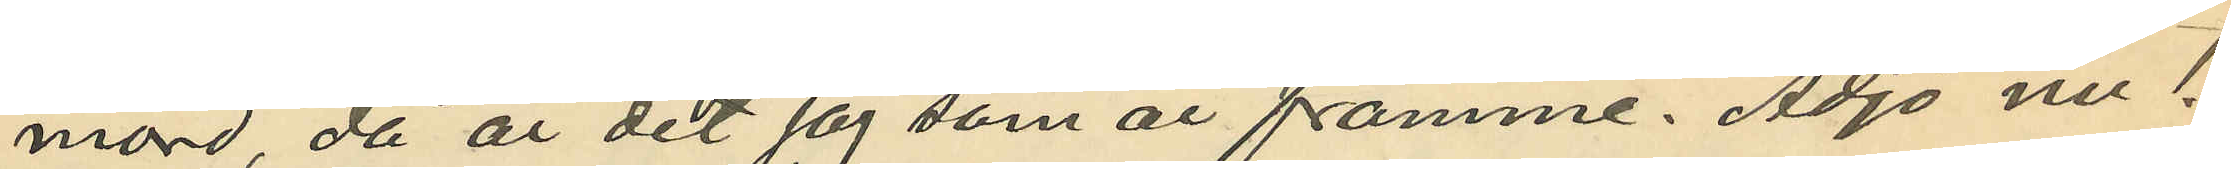mord, då är det jag som är famme. Adjö nu!
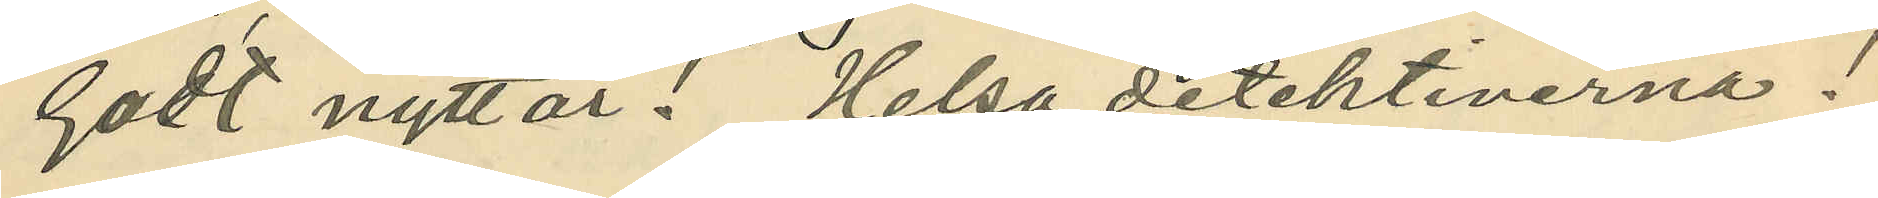Godt nytt år! Helsa detektiverna!
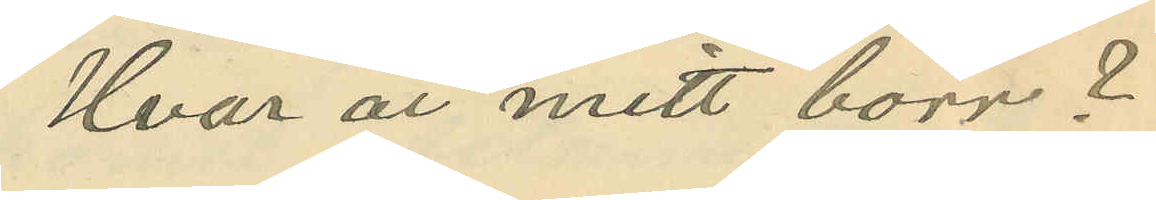Hvar är mitt borr ?
